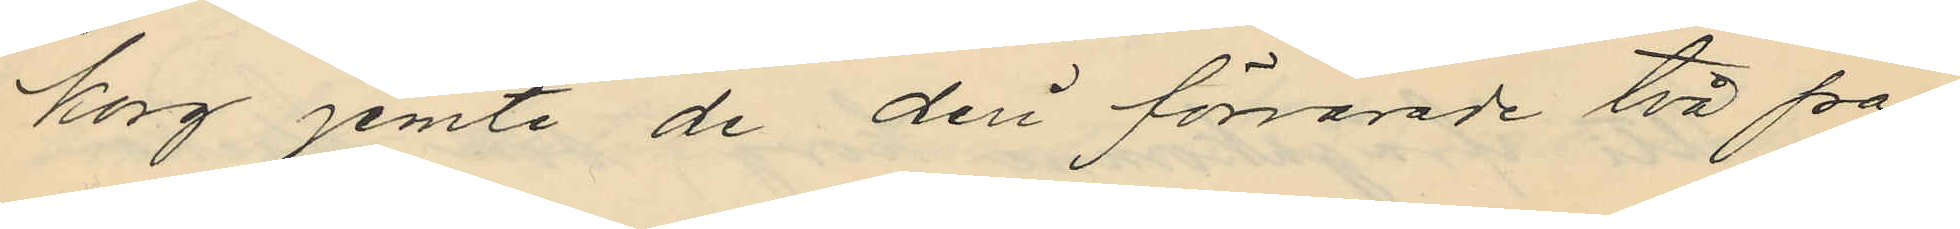korg jemte de deri förvarade två pa¬
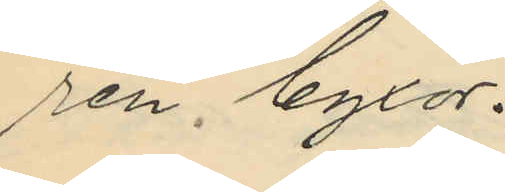ren byxor.
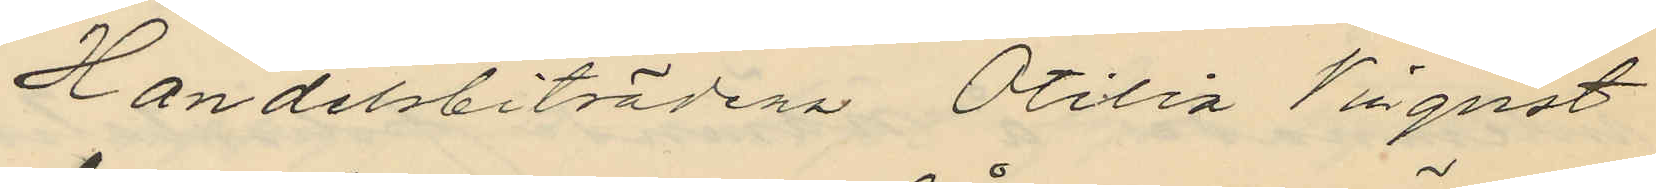Handelsbiträdena Otilia Vinqvist
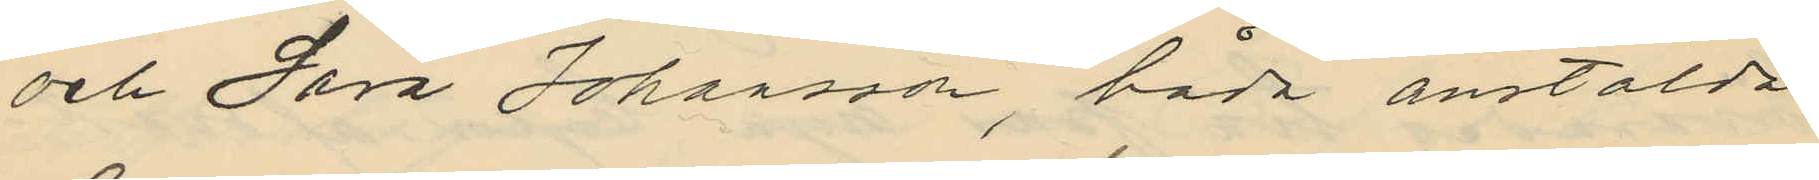och Sara Johansson, båda anstälda
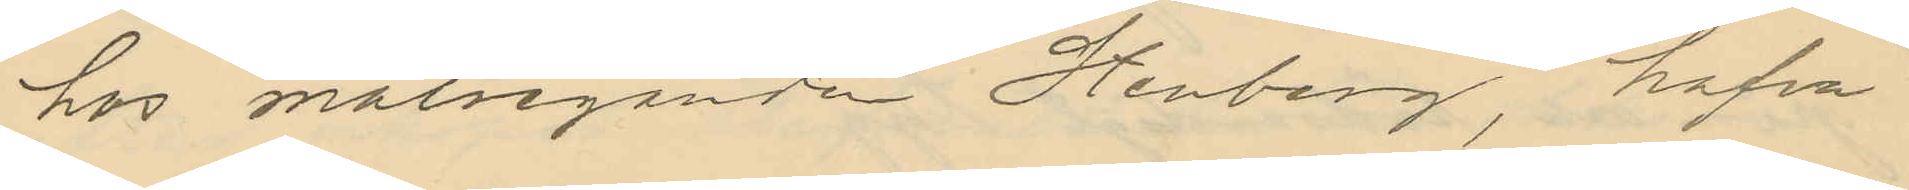hos målseganden Stenberg, hafva
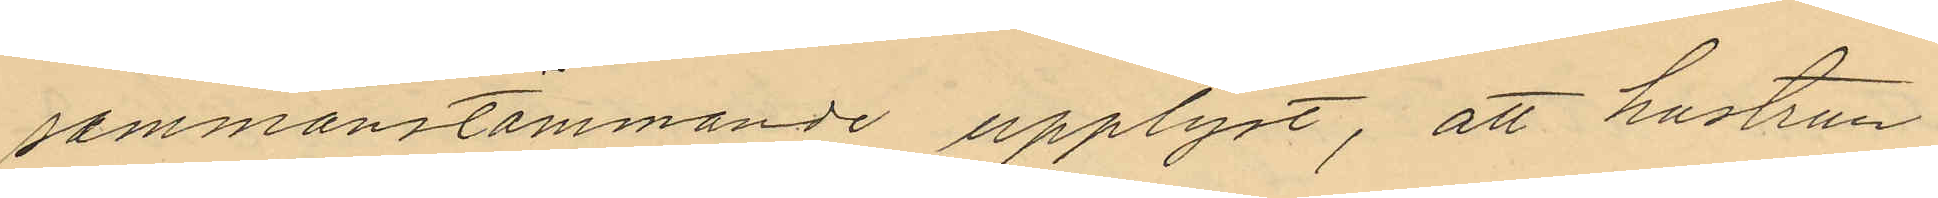sammanstämmande upplyst, att hustrun
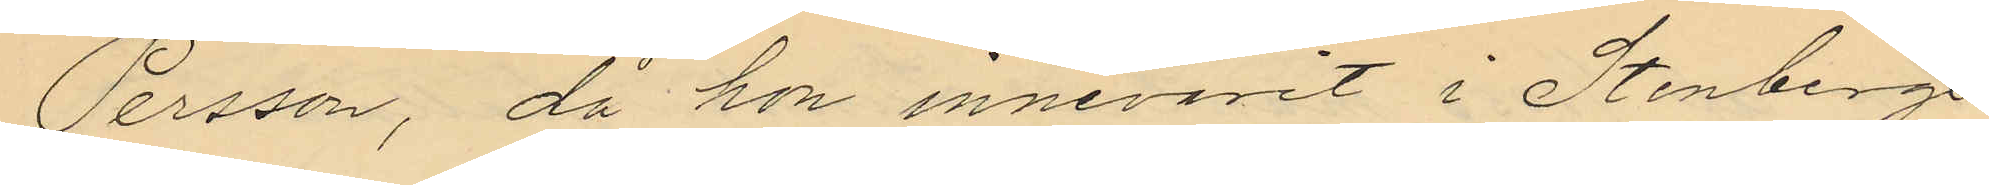Persson, då hon innevarit i Stenbergs
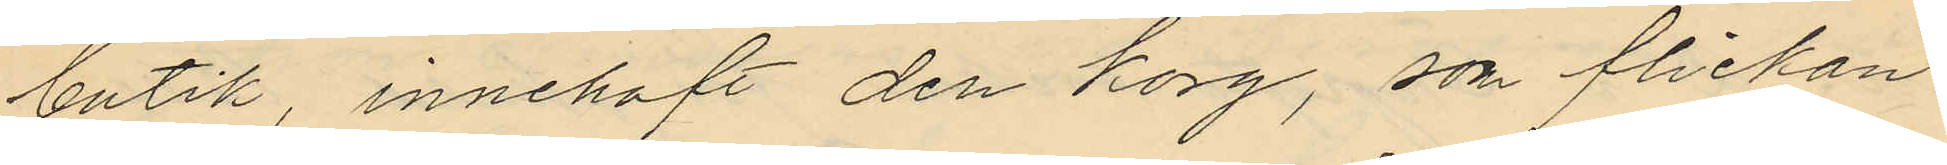butik, innehaft den korg, som flickan
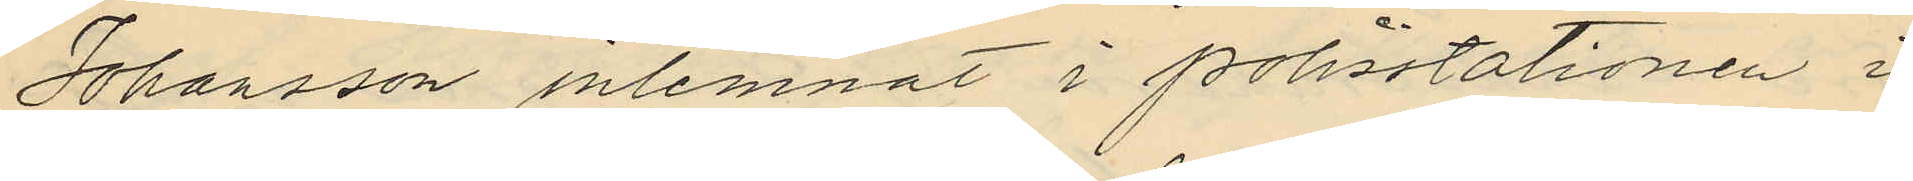Johansson inlemnat i polisstationen i
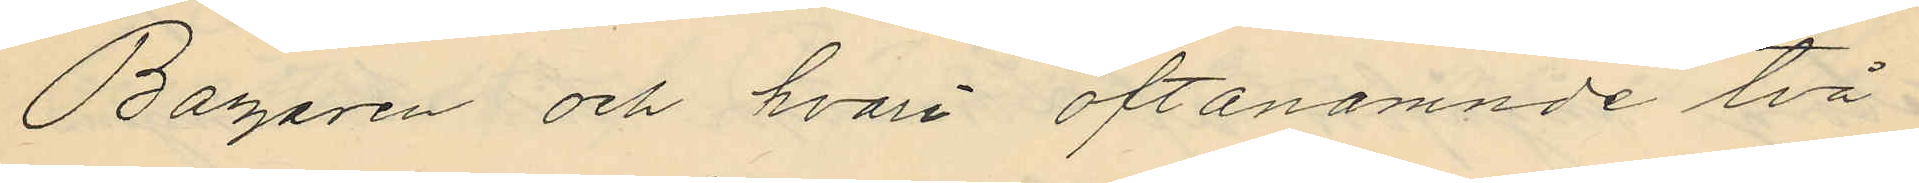Bazaren och hvari oftanämnde två¬
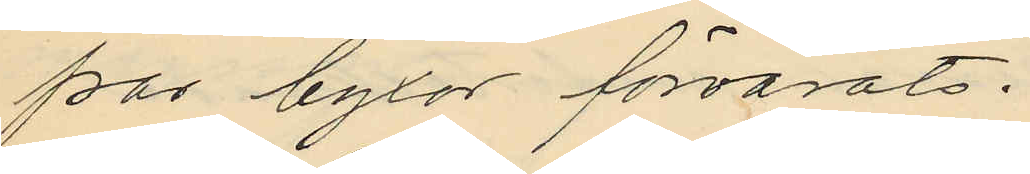par byxor förvarats:
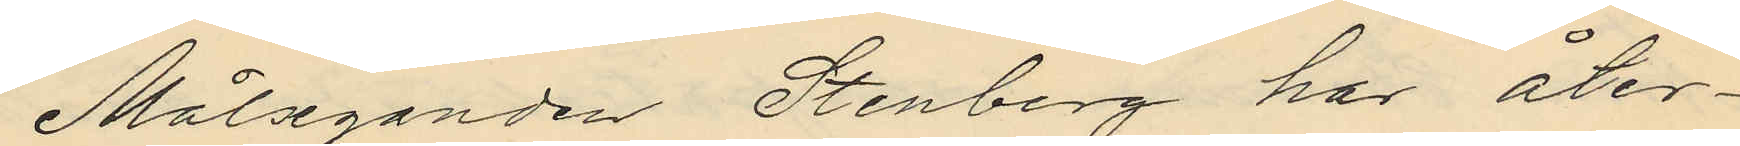Målseganden Stenberg har åter¬
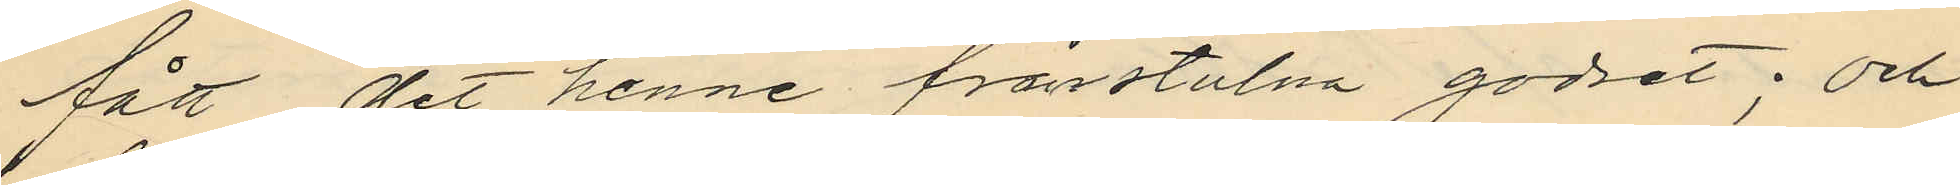fått det henne frånstulna godset; och
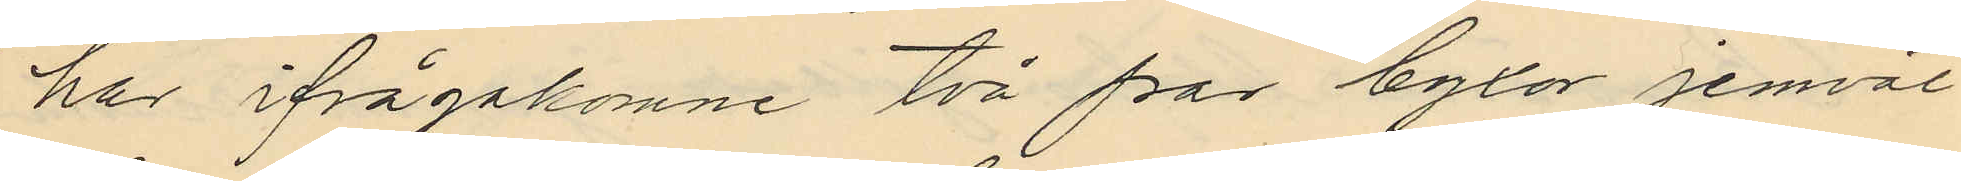har ifrågakomne två par byxor jemväl
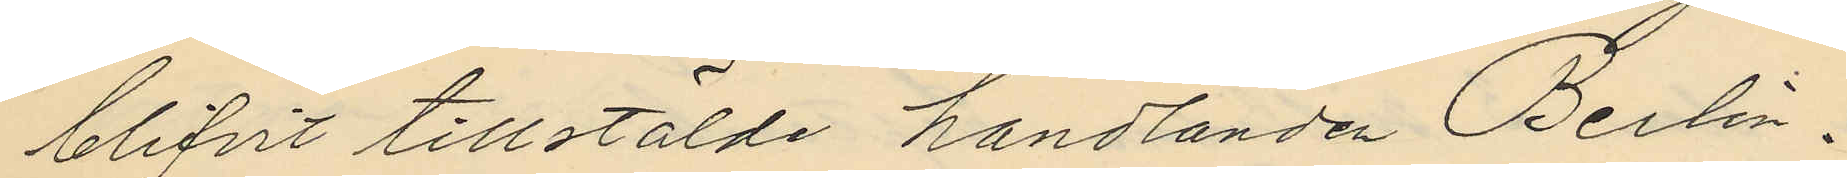blifvit tillstälde handlanden Berlin.
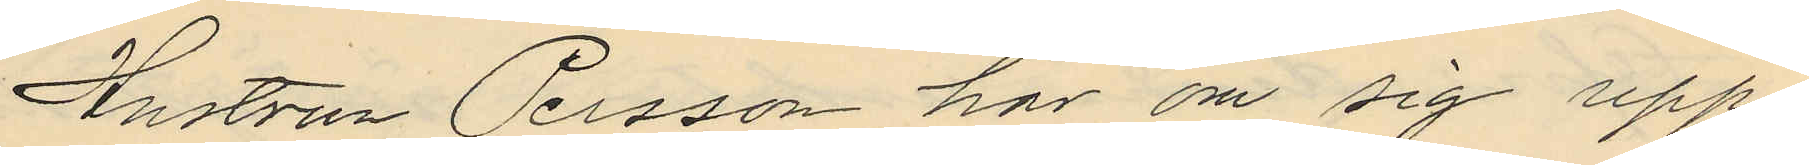Hustrun Persson har om sig upp¬
